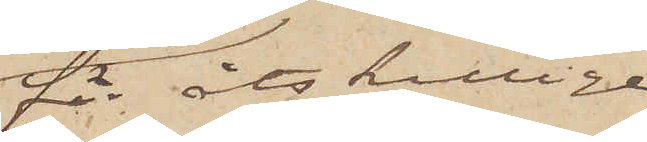för åtskillige
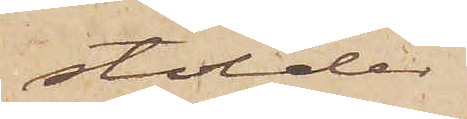stölder
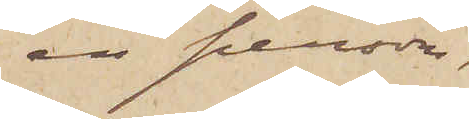en person,
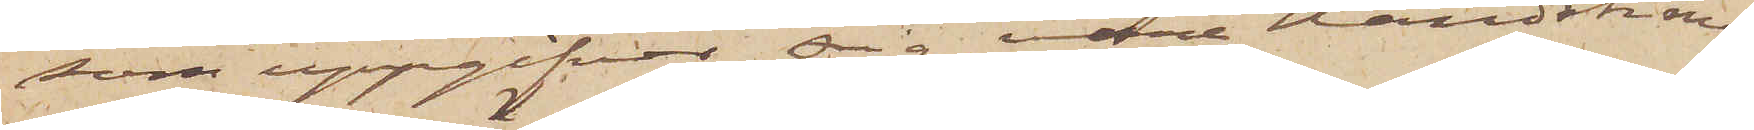som uppgifver sig vore Handskma¬
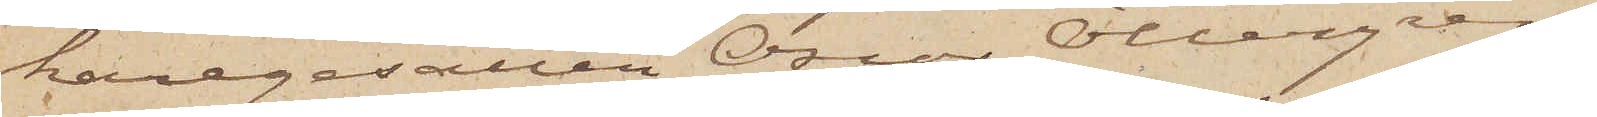karegesällen Oscar Ottergren
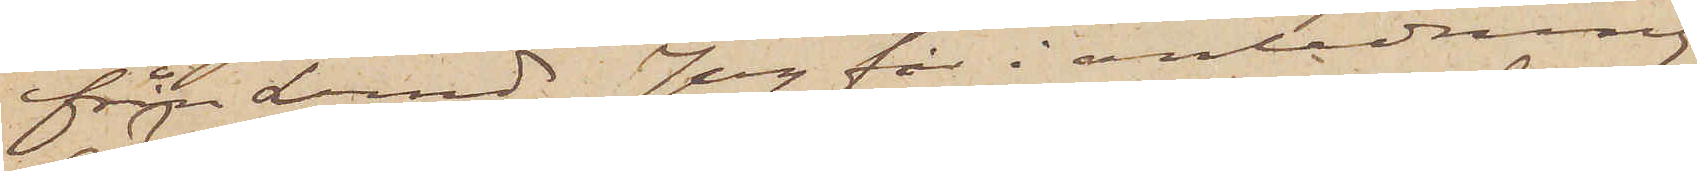från Lund. Jag får i anledning
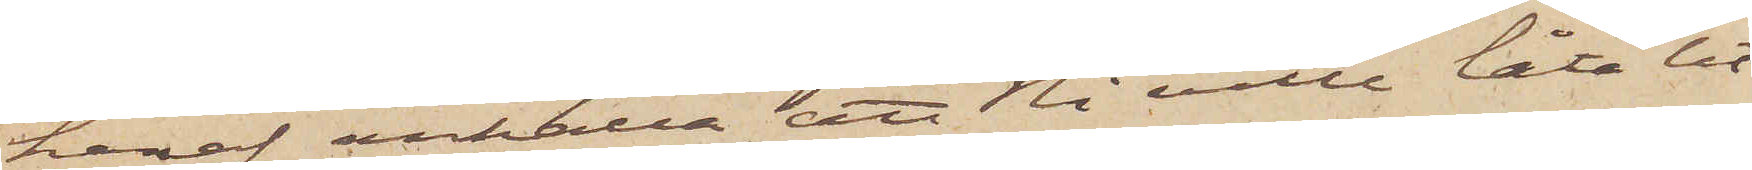häraf anhålla, att Ni ville låta ut¬
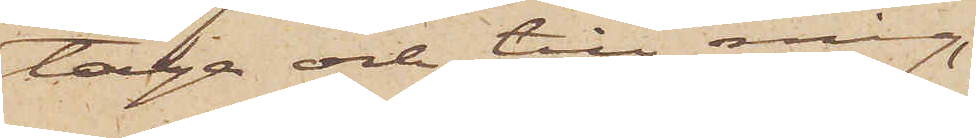taga och till mig,
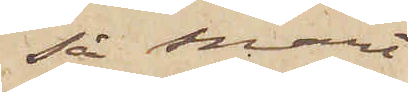så snart
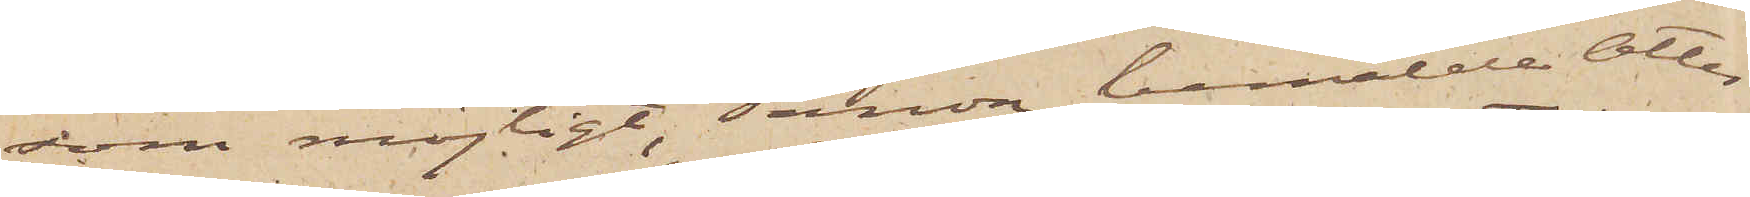som möjligt, sända bemälde Otter¬
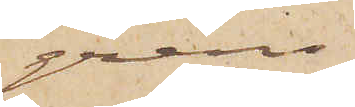grens
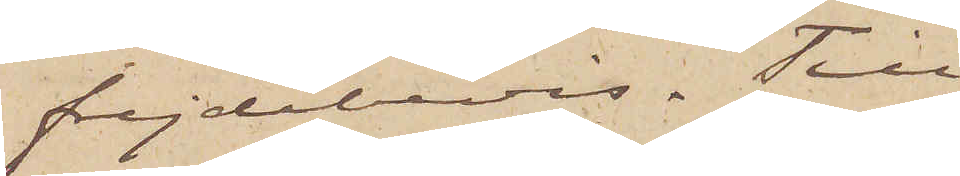frejdebevis. Till
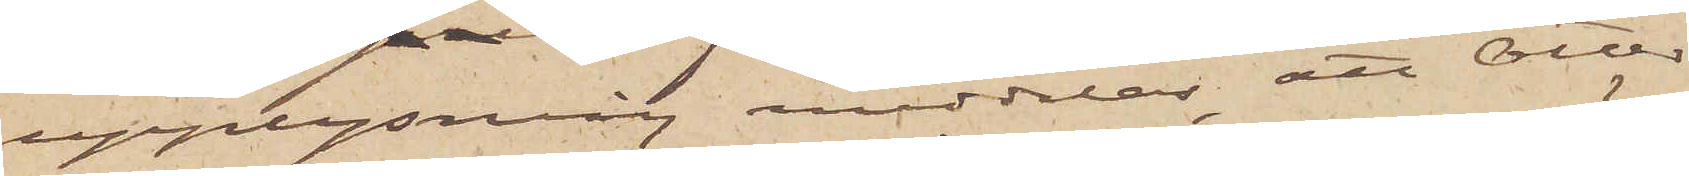upplysning meddelas, att Otter¬
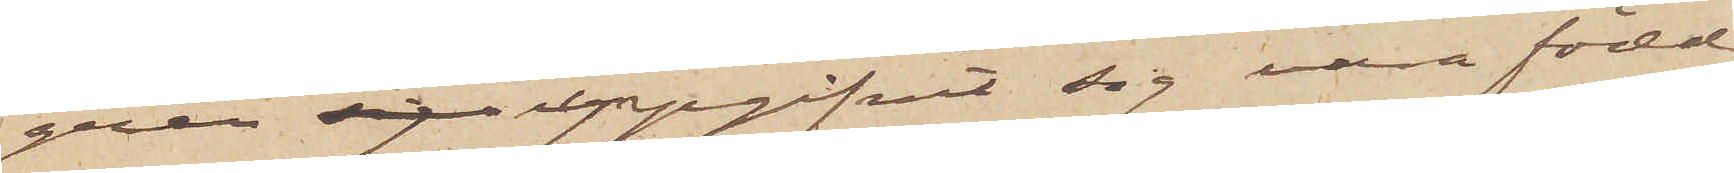gren uppgifvit sig vara född
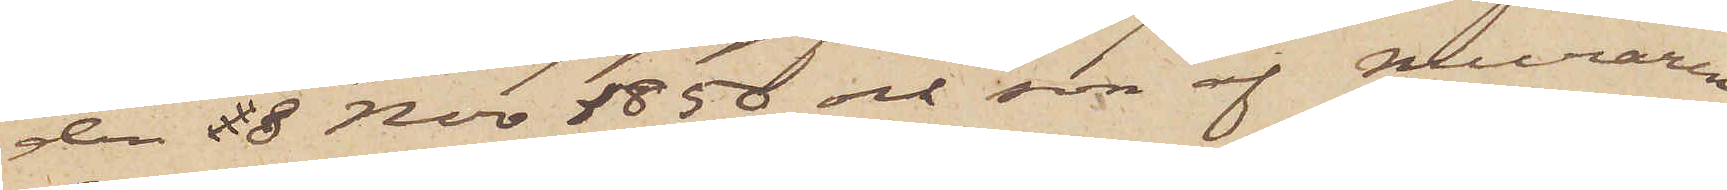den 18 Nov 1850 och son af muraren
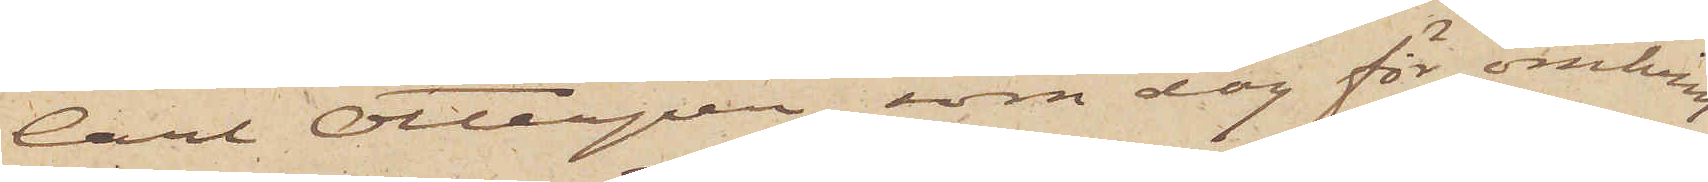Carl Ottergren, som dog för omkring
